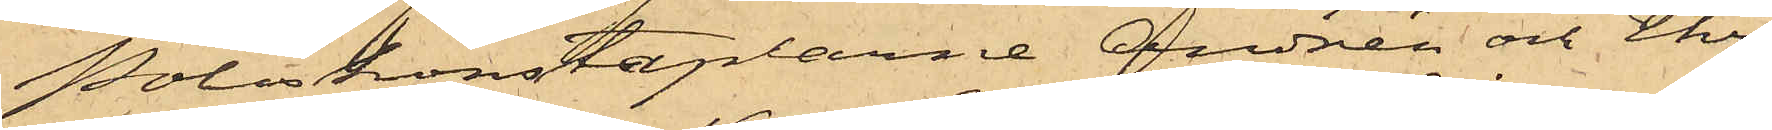Poliskonstaplarne Andrén och Ehri¬
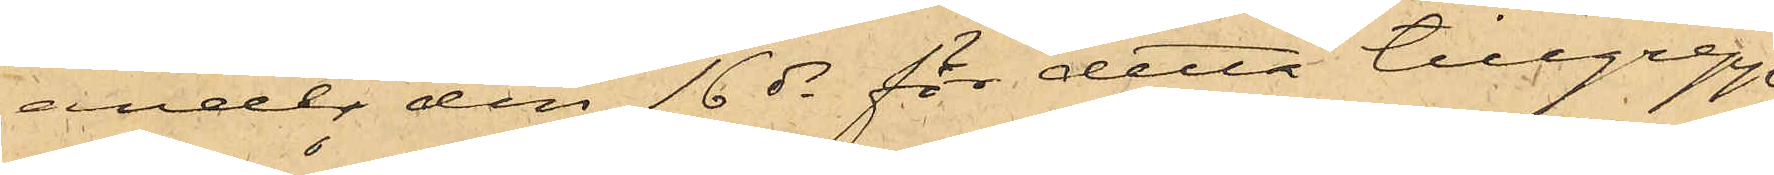ander den 16 ds för detta tillgrepp
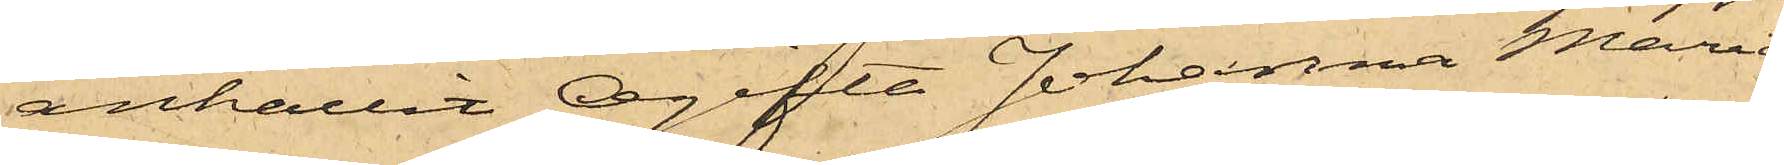anhållit Ogifta Johanna Maria
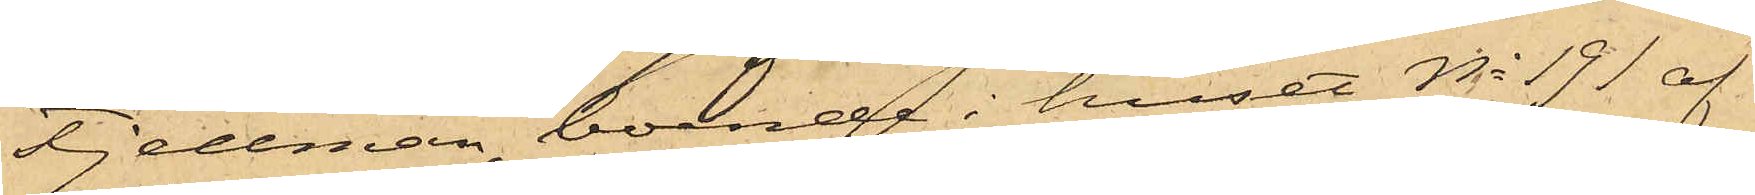Fjellman, boende i huset No 191 af
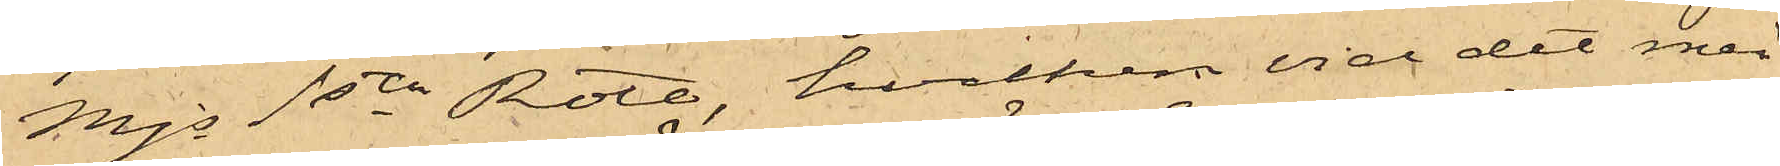Mjs 1sta Rote, hvilken vid det med
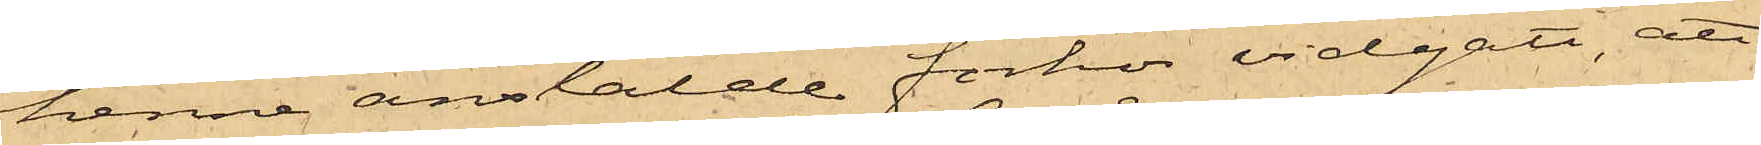henne anstälde förhör vidgått, att
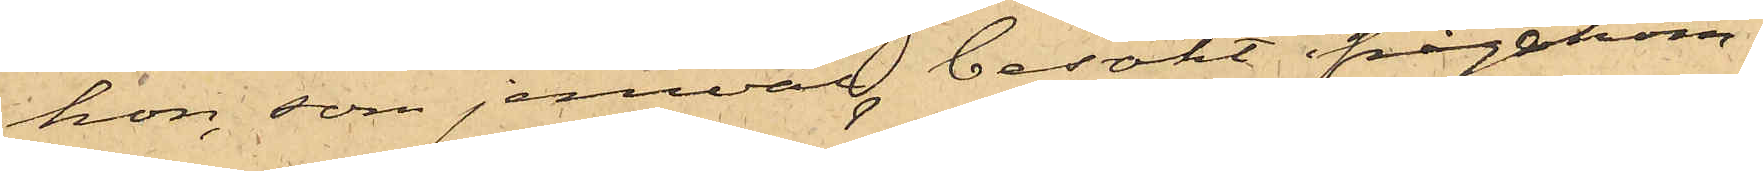hon, som jemväl besökt ifrågakom¬
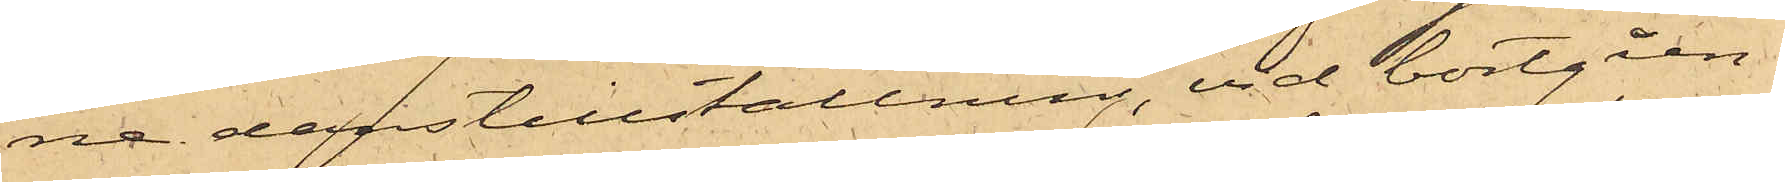ne danstillställning, vid bortgåen¬
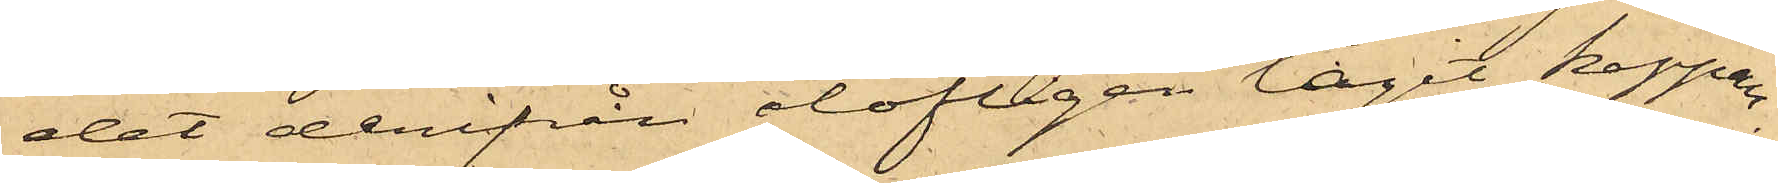det derifrån olofligen tagit kappan,
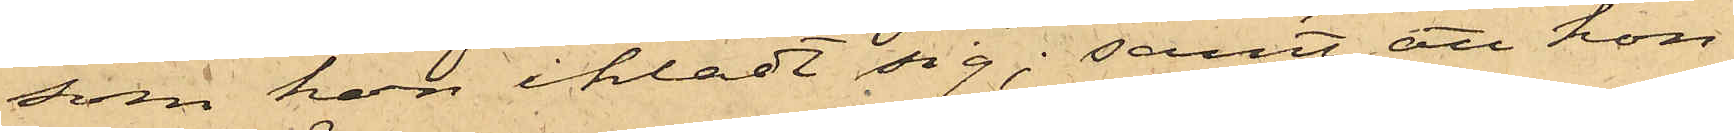som hon iklädt sig; samt att hon
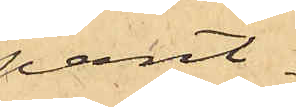pant¬
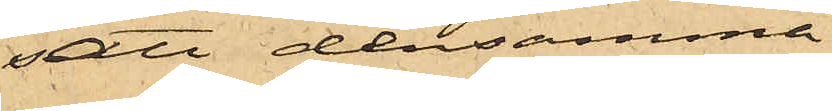satt densamma
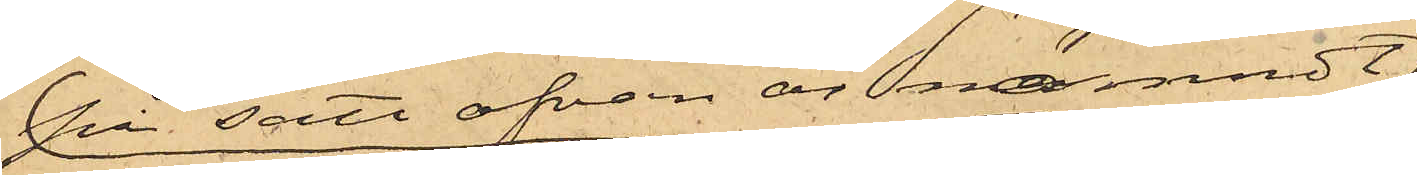på sätt ofvan är nämndt
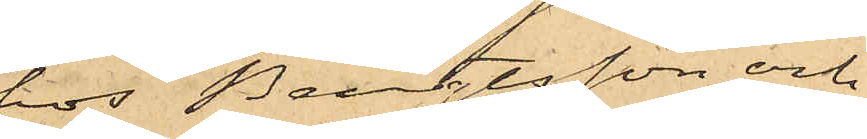hos Bengtsson och
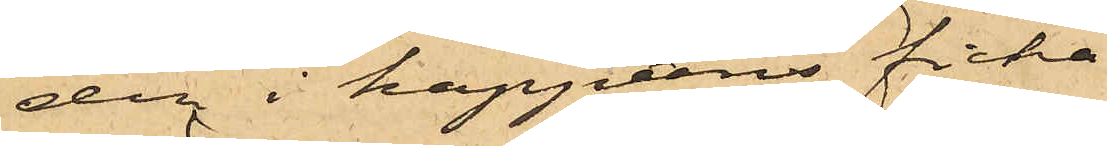den i kappans ficka
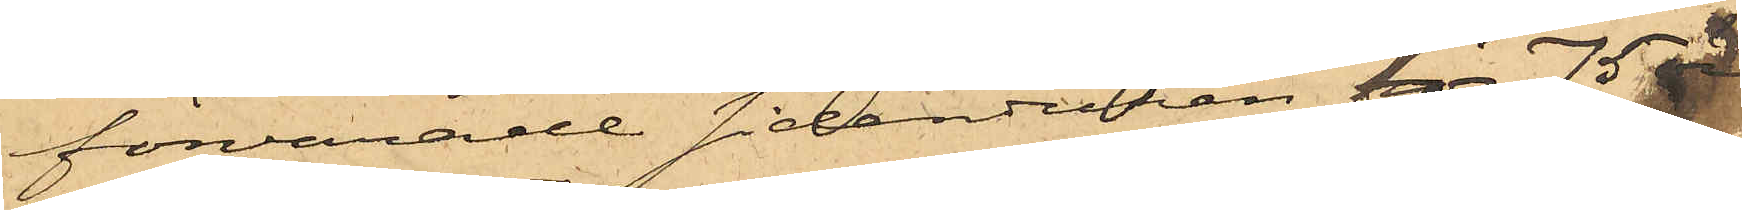förvarade sidenduken för 75 öre
